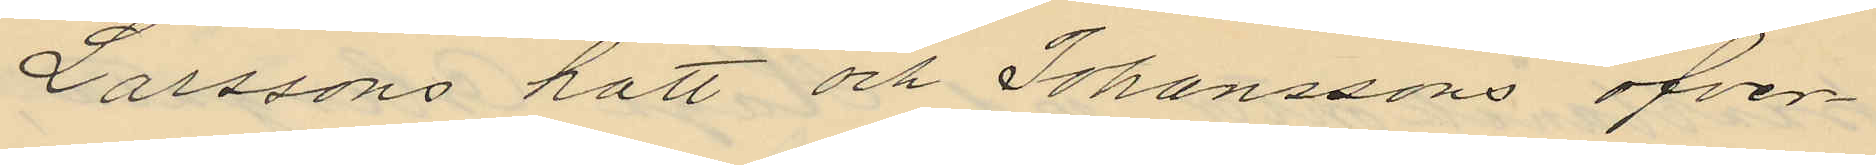Larssons hatt och Johanssons öfver¬
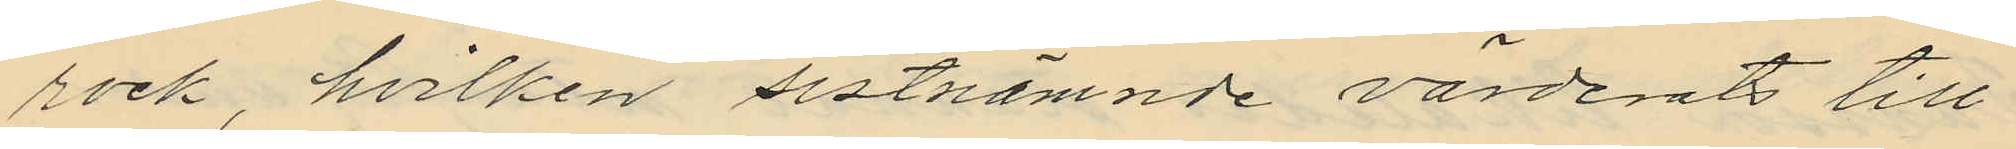rock, hvilken sistnämnde värderats till
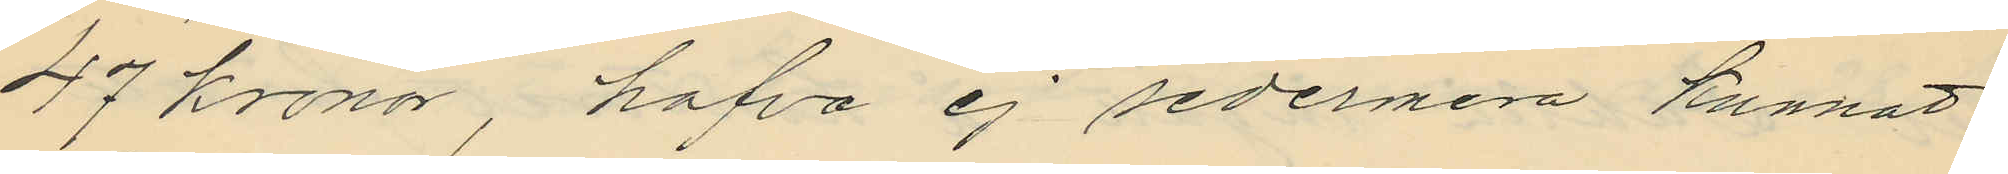47 kronor, hafva ej sedermera kunnat
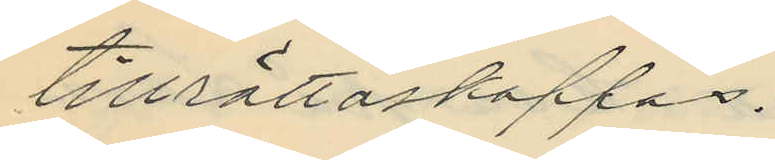tillrättaskaffas.
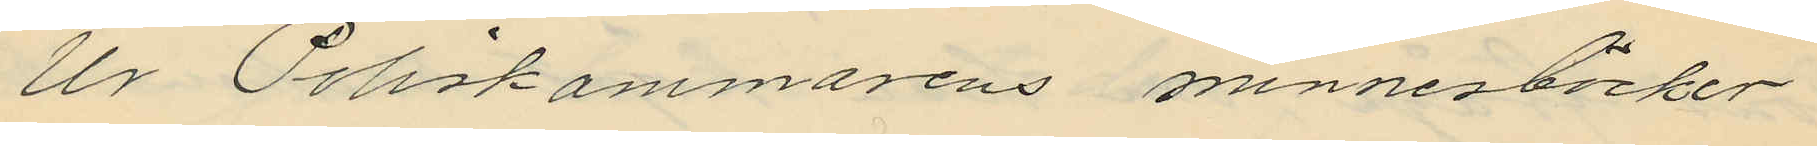Ur Poliskammarens minnesböcker
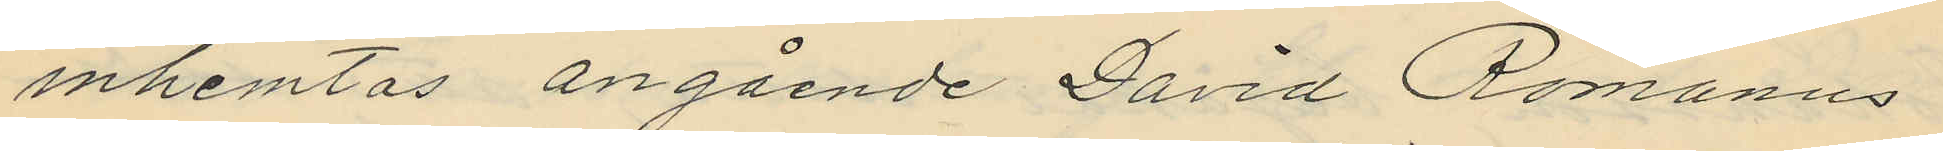inhemtas angående David Romanus
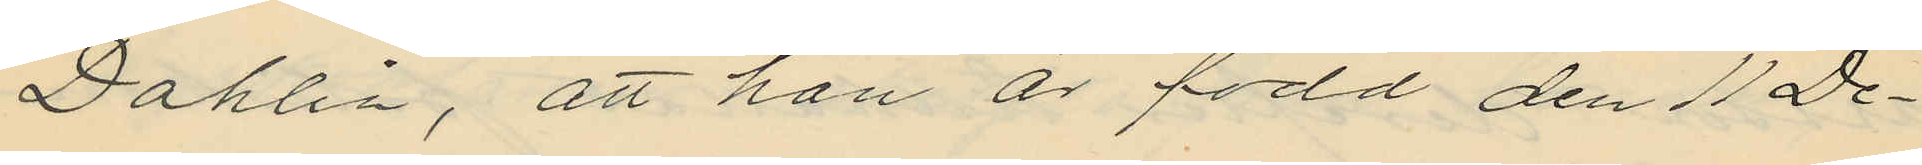Dahlin, att han är född den 11 De¬
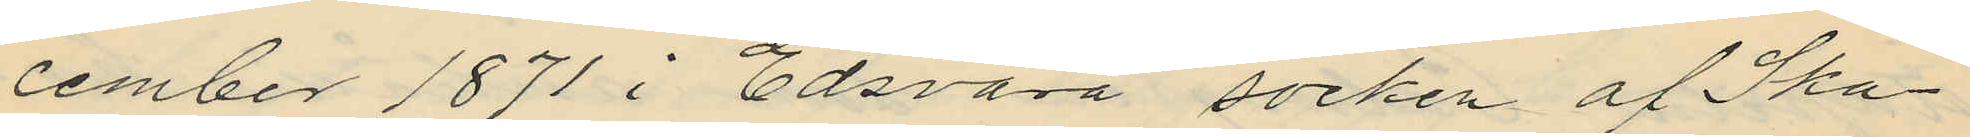cember 1871 i Edsvära socken af Ska¬
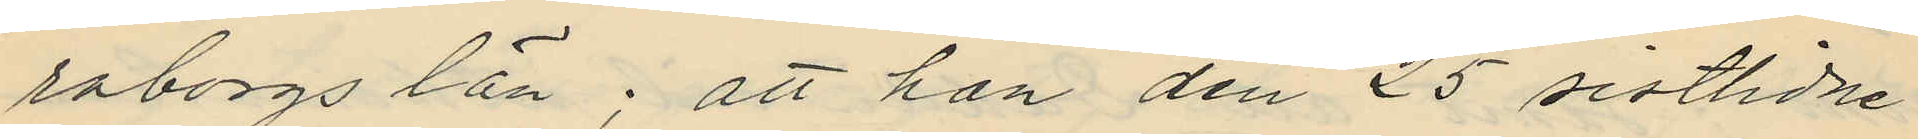raborgs län; att han den 25 sistlidne
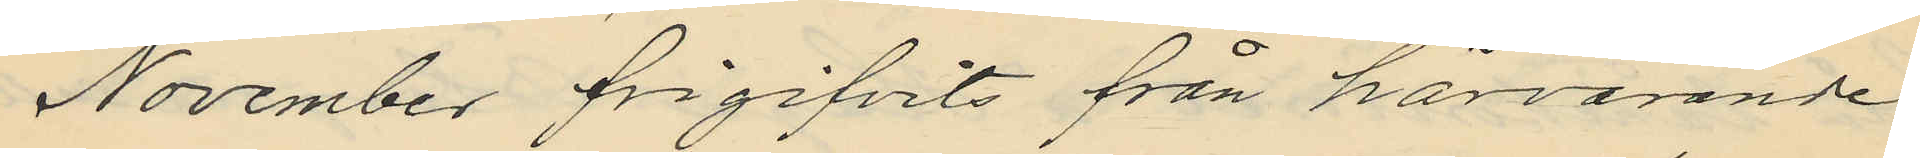November frigifvits från härvarande
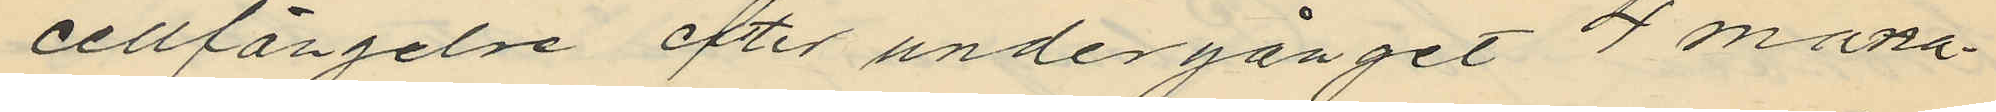cellfängelse efter undergånget 4 måna¬
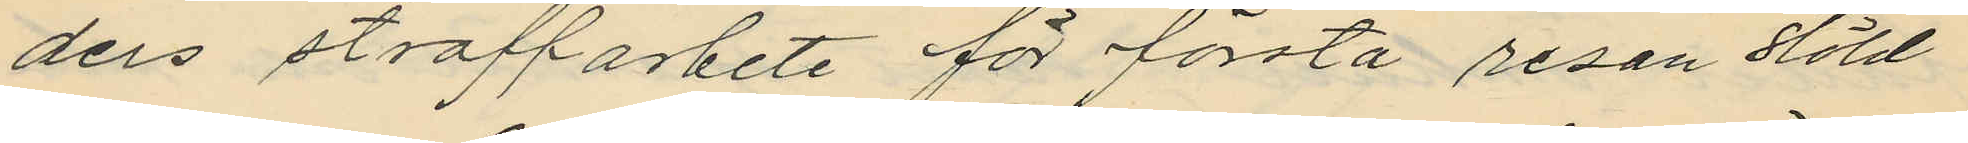ders straffarbete för första resan stöld
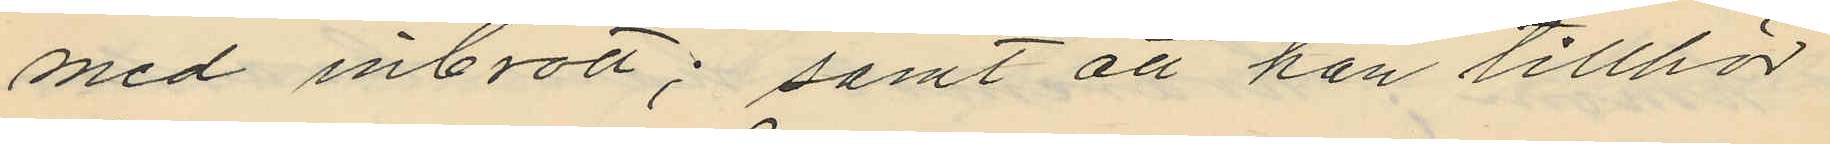med inbrott; samt att han tillhör
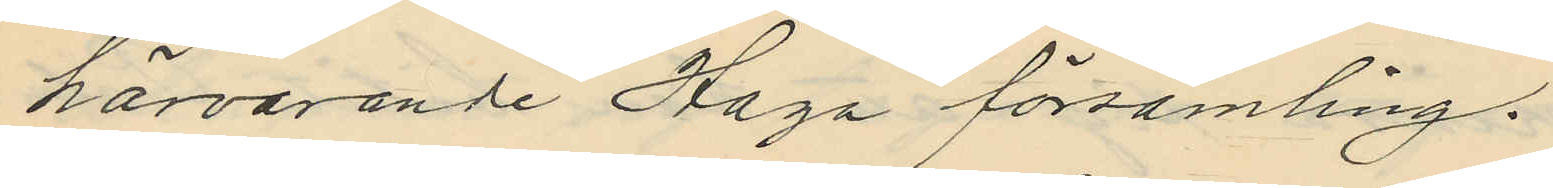härvarande Haga församling.
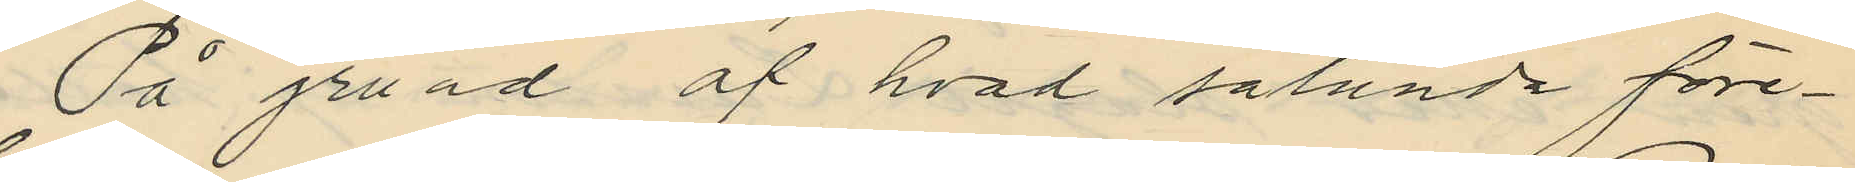På grund af hvad sålunda före¬
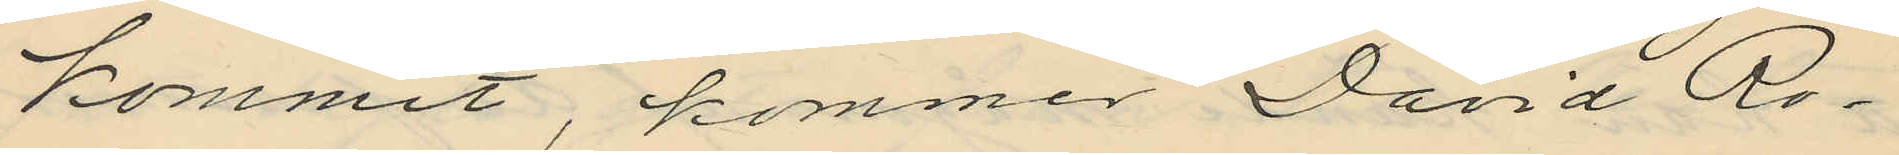kommit, kommer David Ro¬
